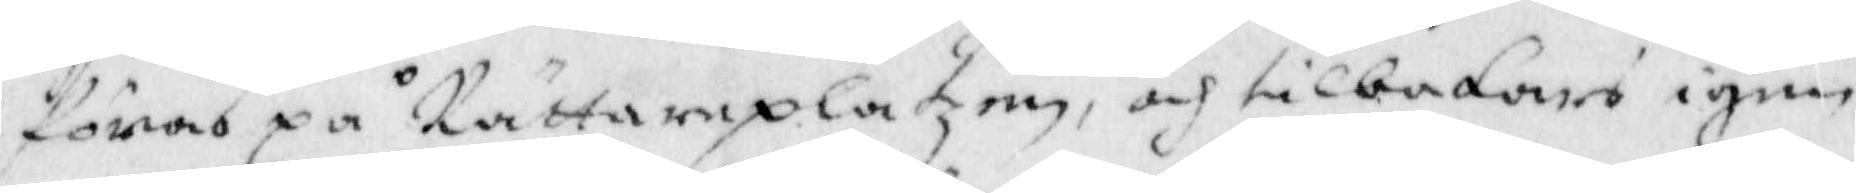föras på Rättareplatzen, och tilbakars igen,
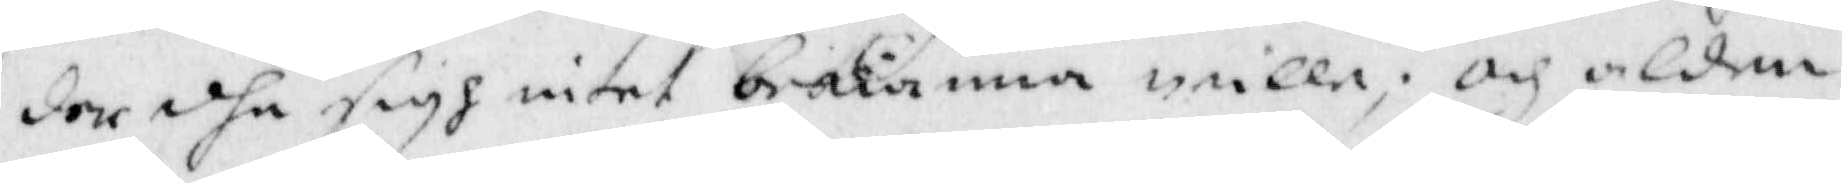den dhe sigh intet bekiänna wille; och alden¬
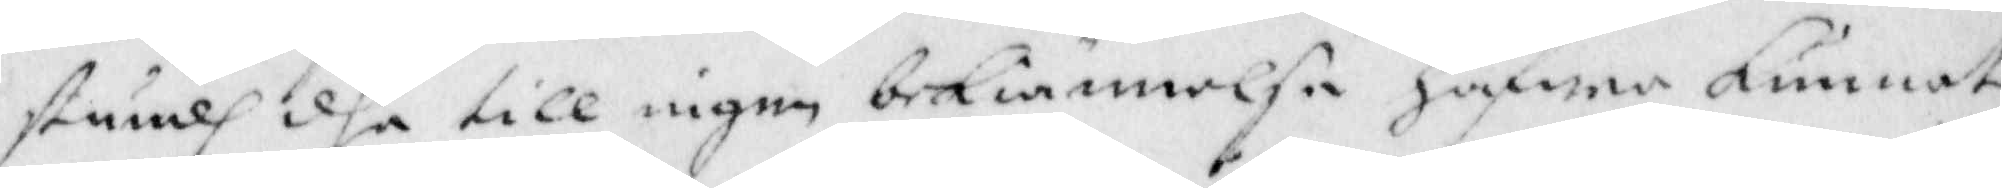stundh dhe till ingen bekiännelse hafwer kunnat
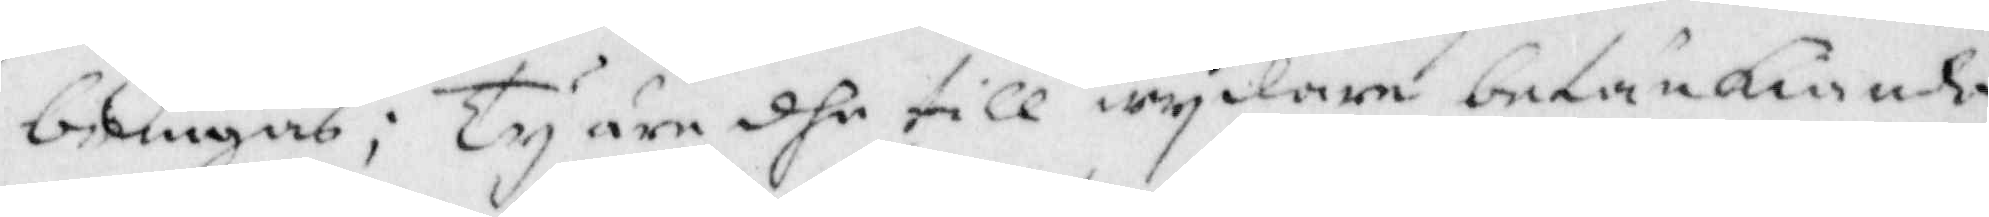bringas; Ty äre dhe till wydare betänkiande
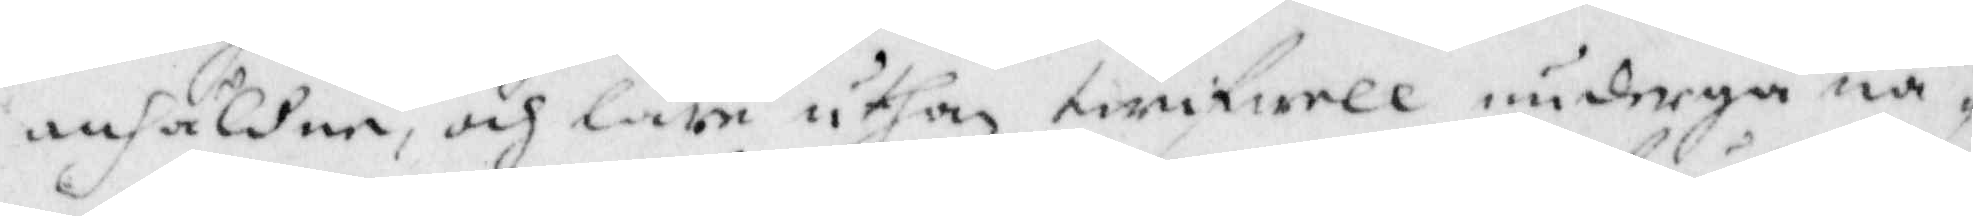anhåldne, och läre uthan twifwell undraga nå¬
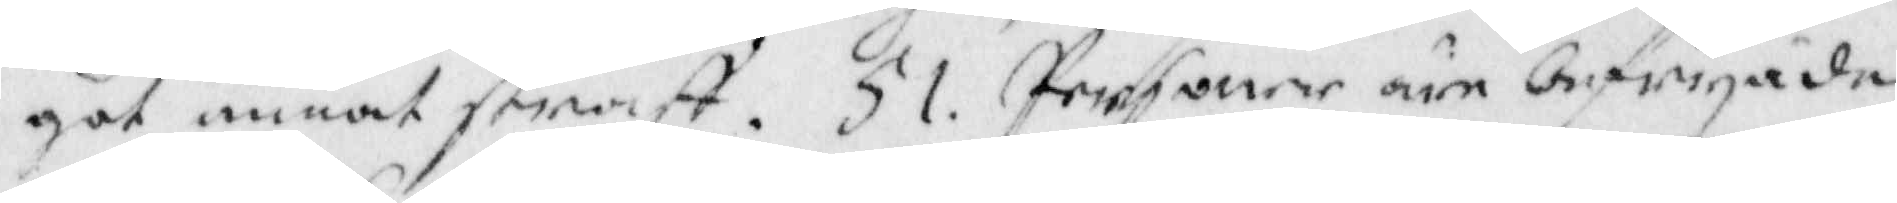got annat straff. 51 Personer äre befryade
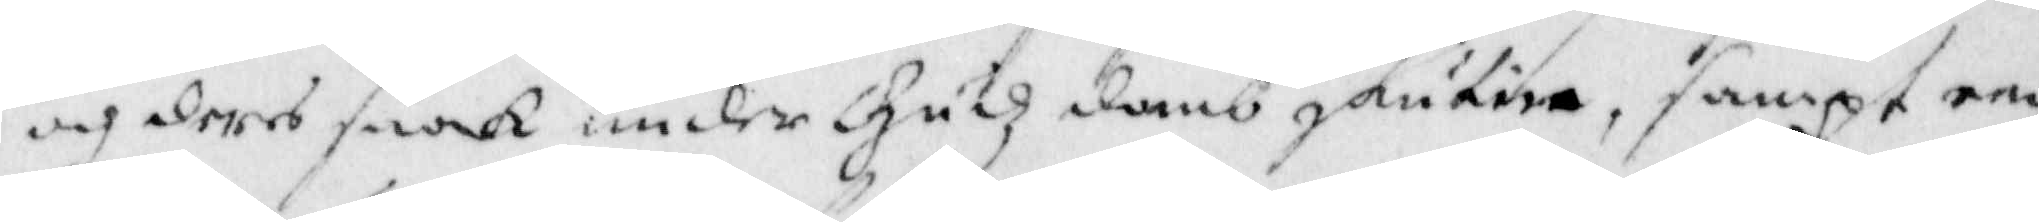och deras saak under Gudz domb skutien, sampt en
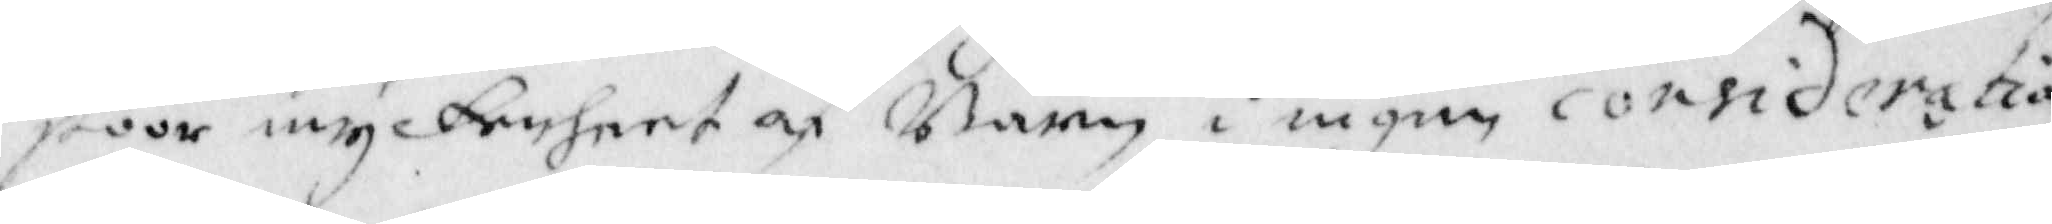stoor myckenheet af Barn i eigen consideration
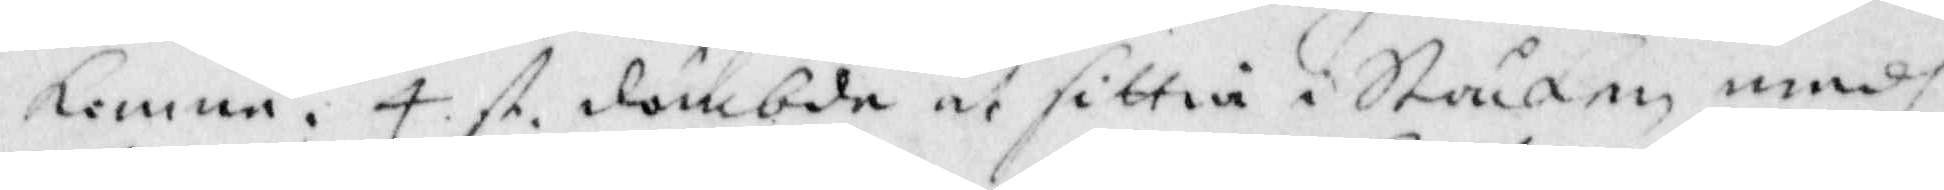komme, 4 st dömbde at sittia i Ståcken medh
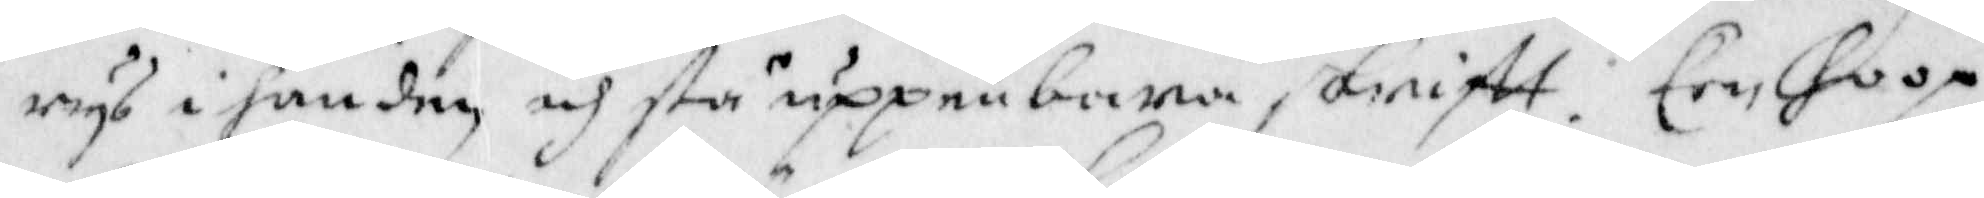rys i handen, och stå uppenbara skriftt. Een hoop
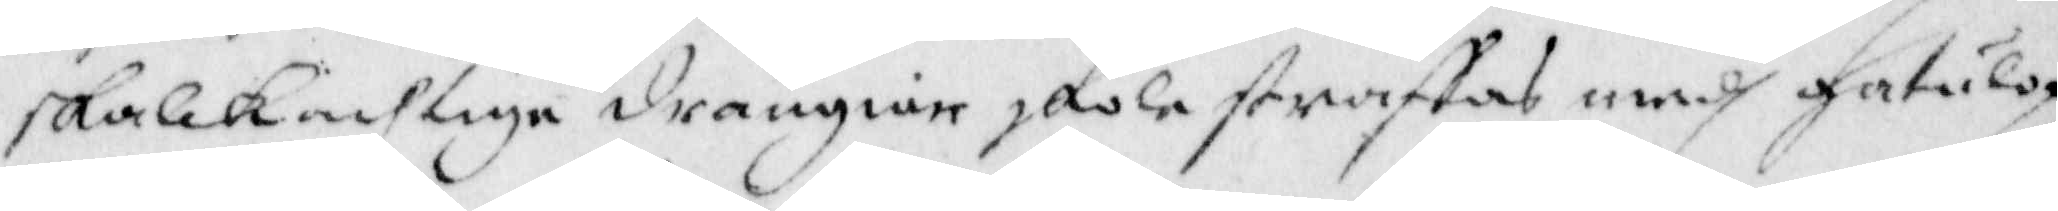skalckachtiga drängiar skola straffas medh gatulop
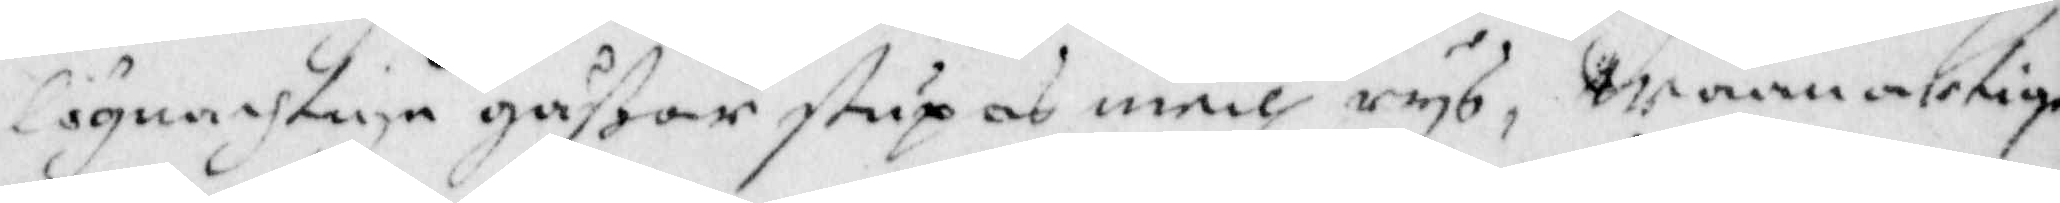lögnachtiga gåßar stupas medh rys, Waanartige
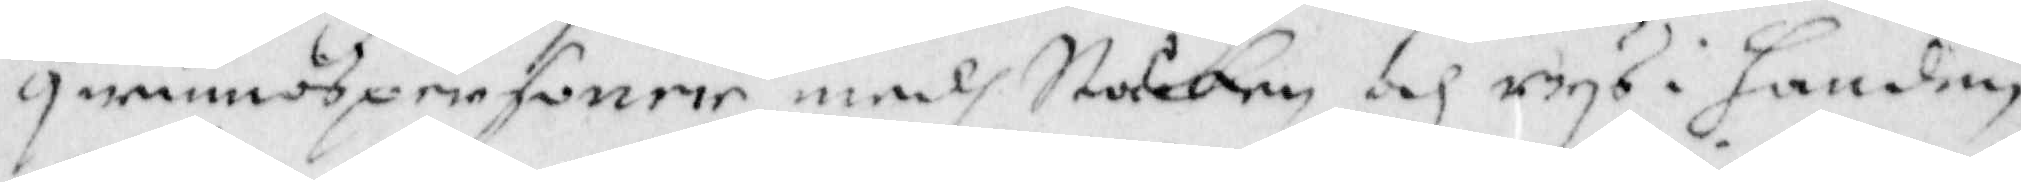qwinnospersoner med Ståcken och rys i handen,
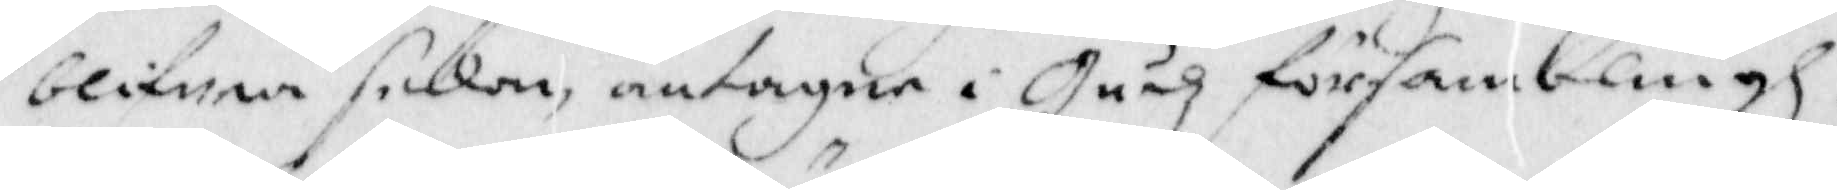blifwa sedan, antagne i Gudz försambling.
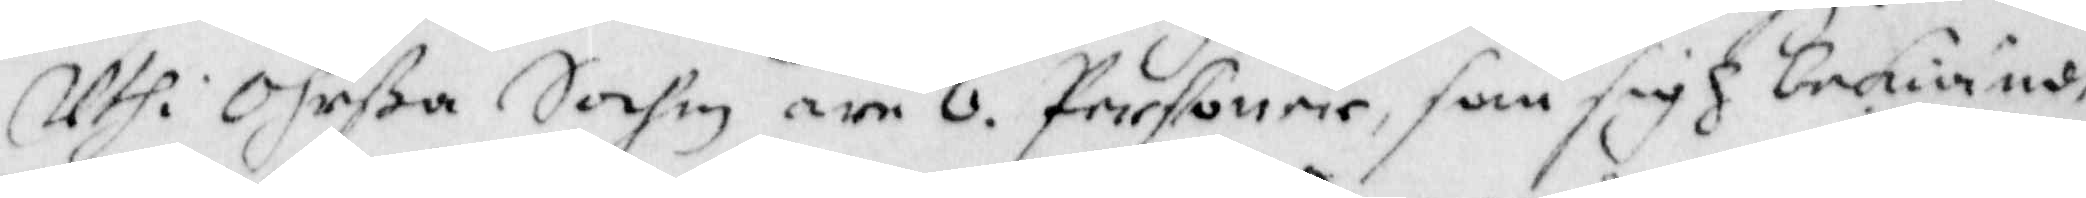Uthi Ohrßa Sochn äre 6. Personer, som sigh bekiändt
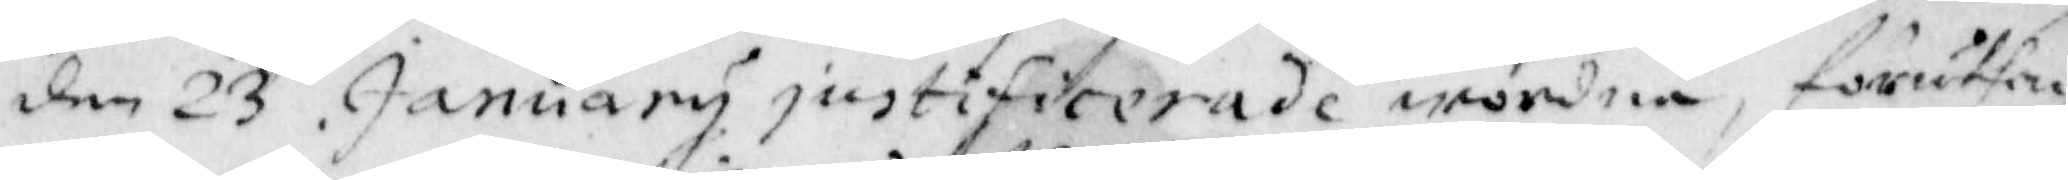den 23 January justificerade wordne, föruthan
